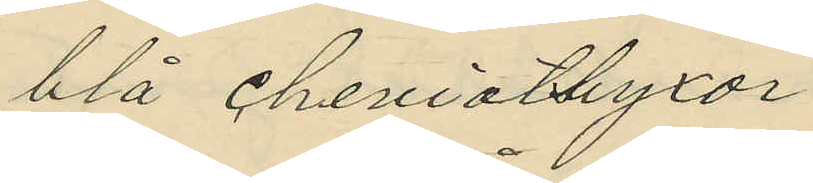blå cheviotbyxor
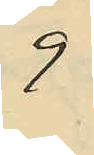9
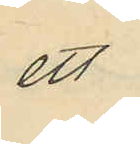ett
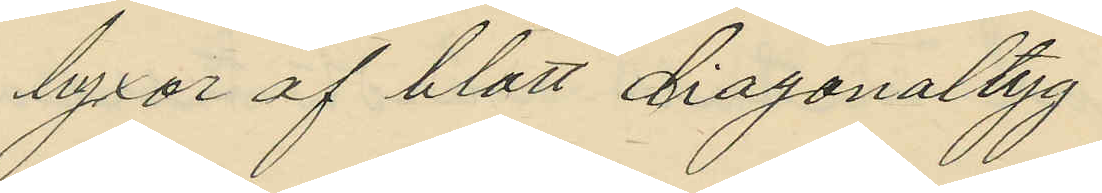byxor af blått diagonaltyg
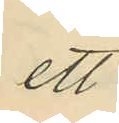ett
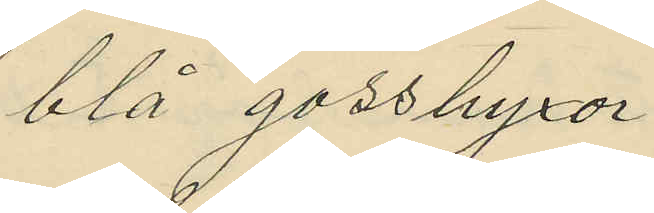blå gossbyxor
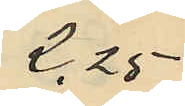2,25
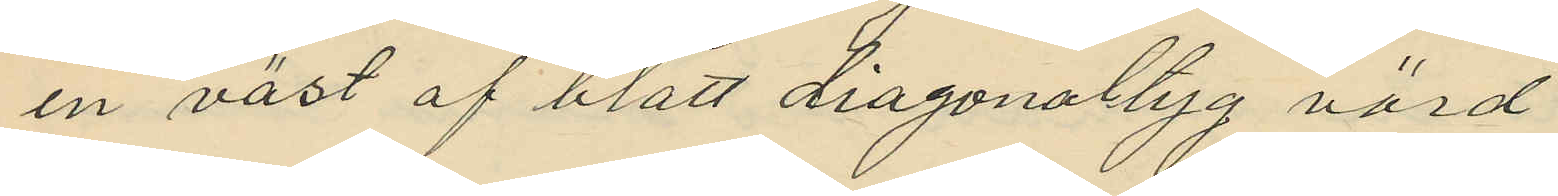en väst af blått diagonaltyg värda
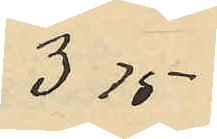3,75
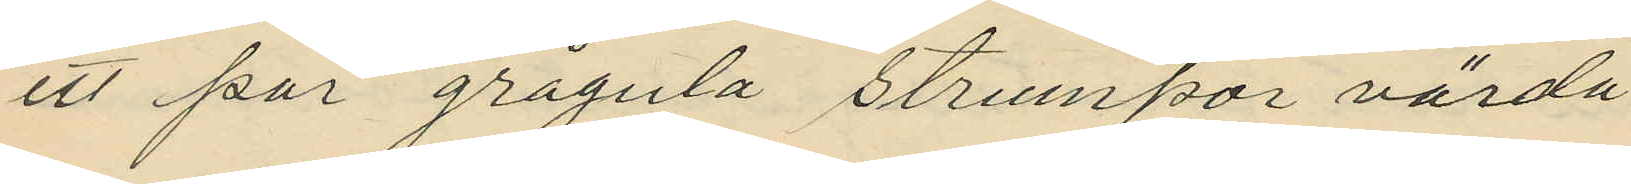ett par grågula strumpor värda
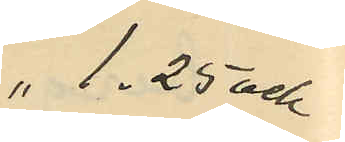1,25 och
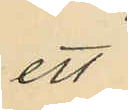ett
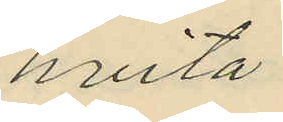hvita
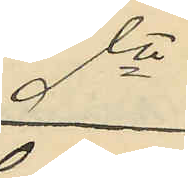dto
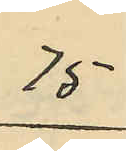75
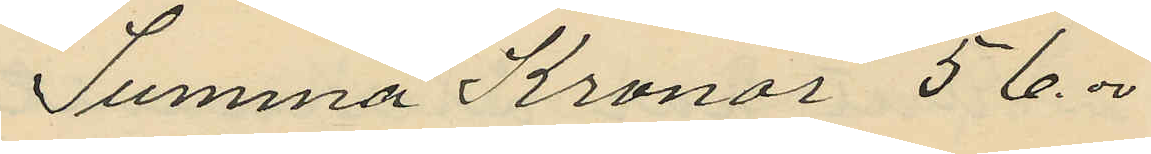Summa Kronor 56.00
